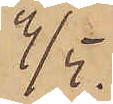3/5.
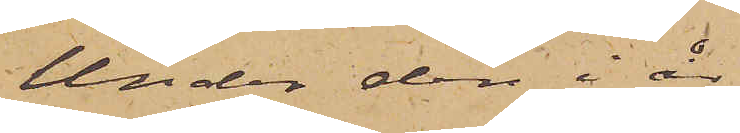Under den i år
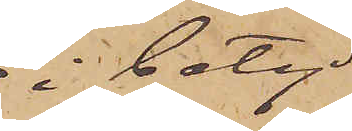i betyd¬
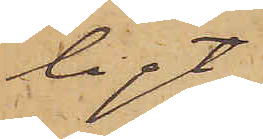ligt
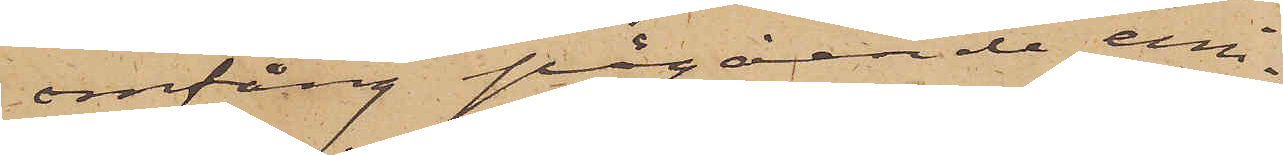omfång pågående emi¬
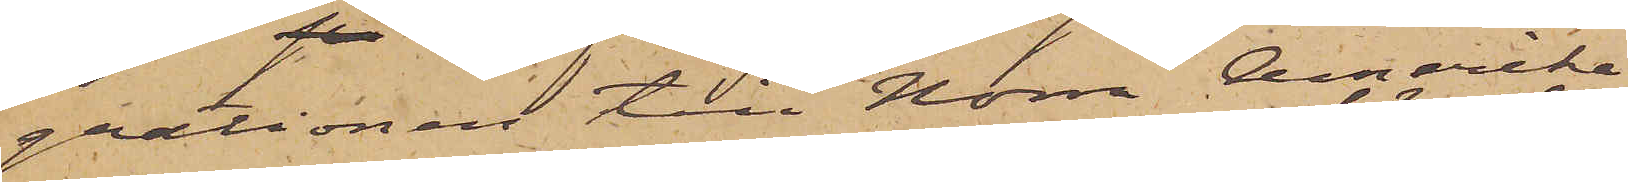grationen till Norra Amerika
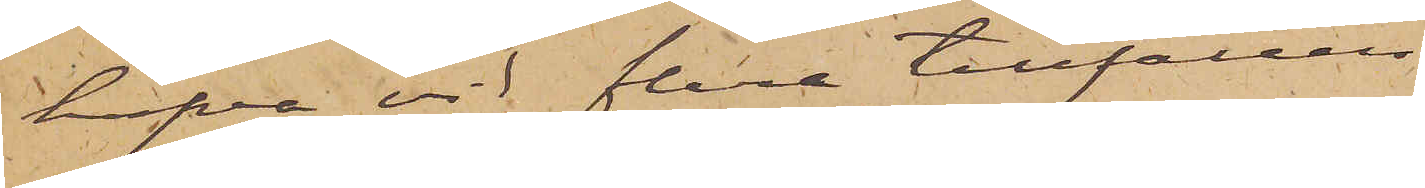hafva vid flera tillfällen
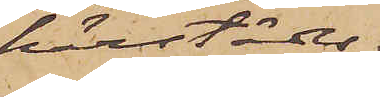härstädes
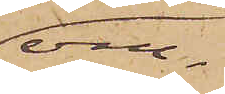om¬
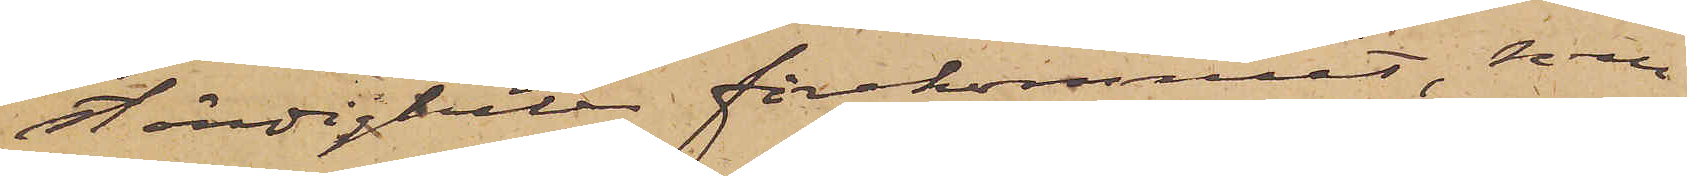ständigheter förekommit, som
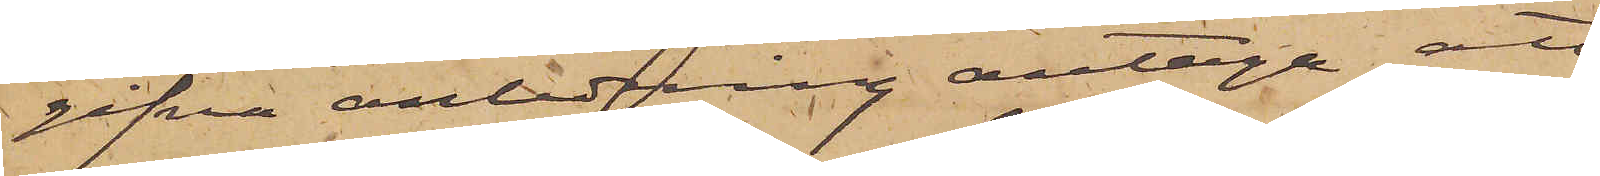gifva anledning antaga att
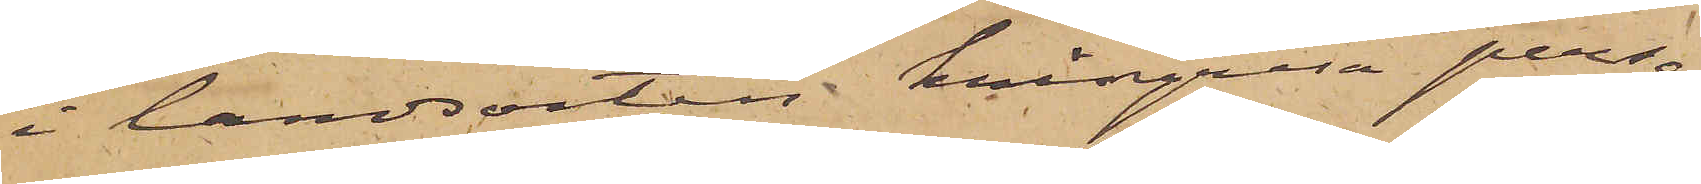i landsorten kringresa perso¬
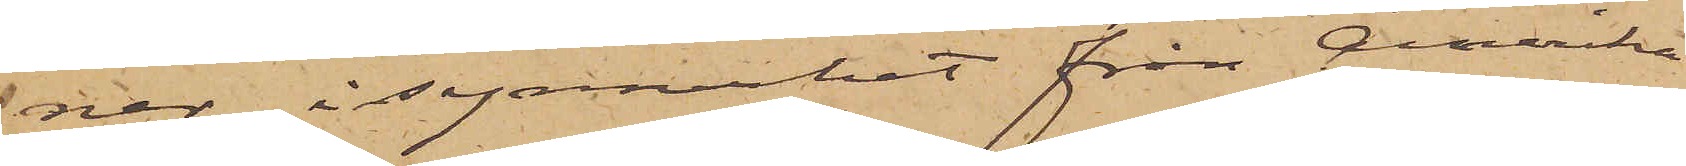ner, i synnerhet från Amerika
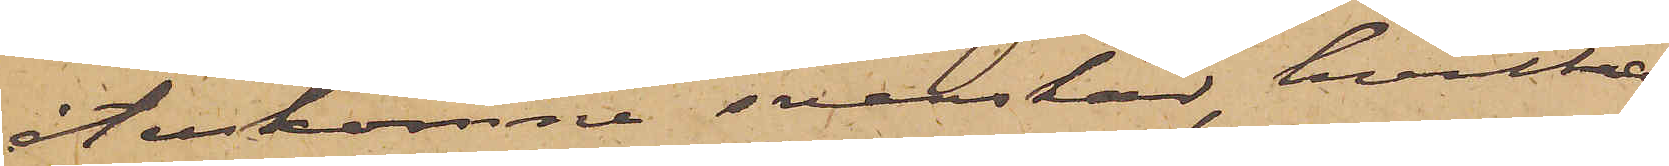återkomne svenskar, hvilka
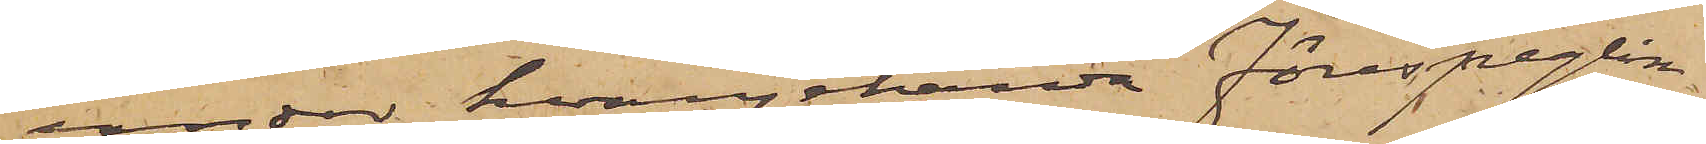under hvarjehanda förespeglin¬
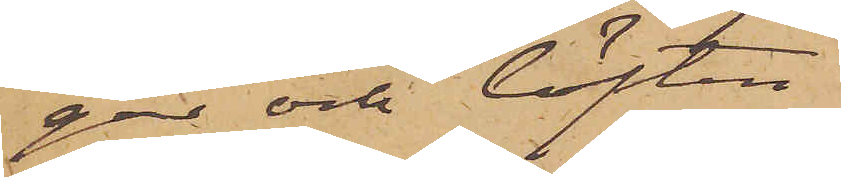gar och löften
